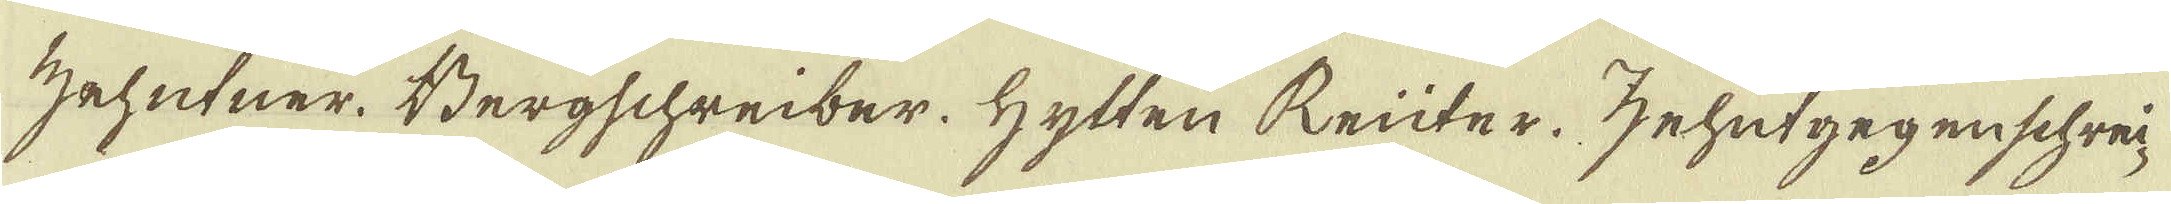Zehutner. Bergschreiber. Hytten Reüter. Zehutgegenschrei-
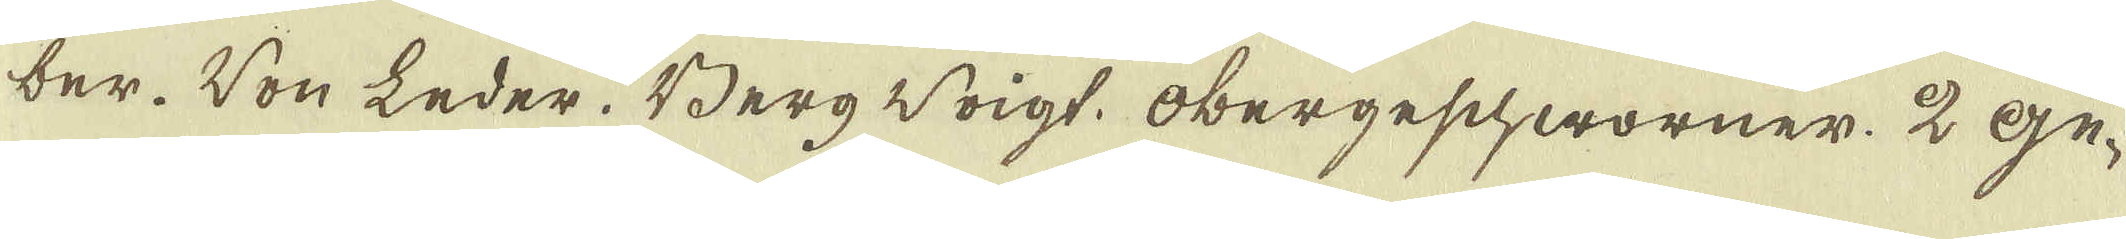ber. Von Leder. Berg Voigt. Obergeschworner. 2 ge-
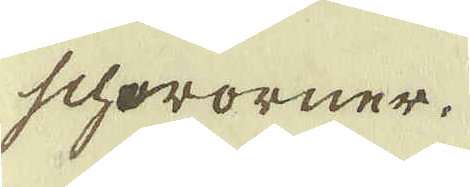schworner.
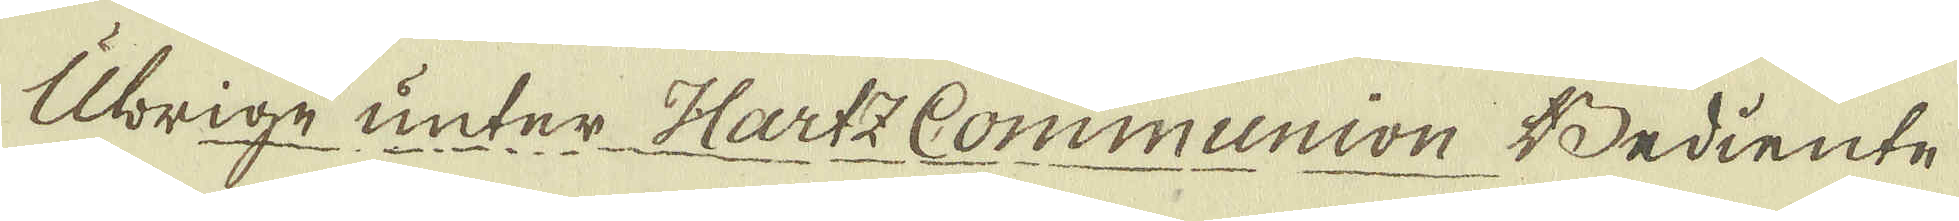Ubrige unter Hartz Communion Bediente
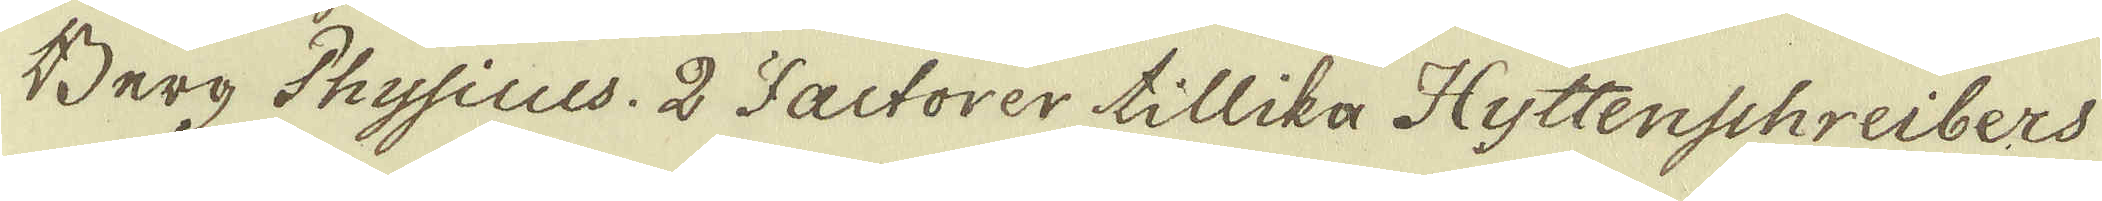Berg Physicus. 2 Factorer tillika Hyttenschreibers
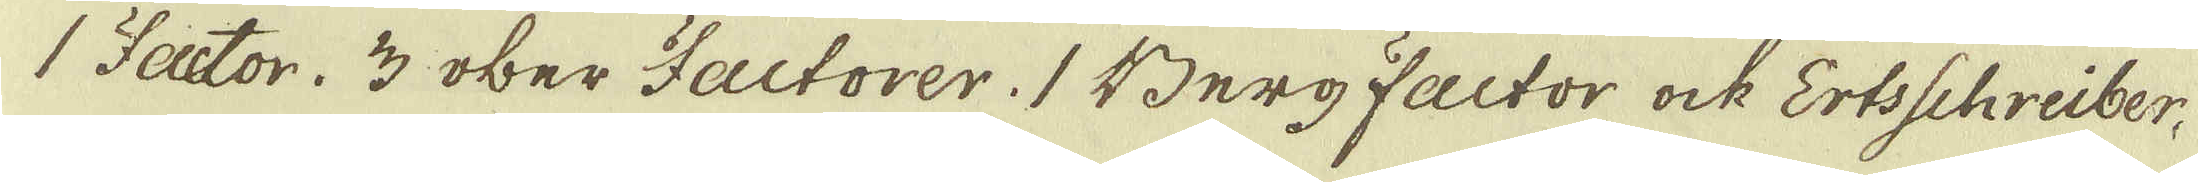1 Factor. 3 ober Factorer. 1 Berg Factor ock Ertsschreiber,
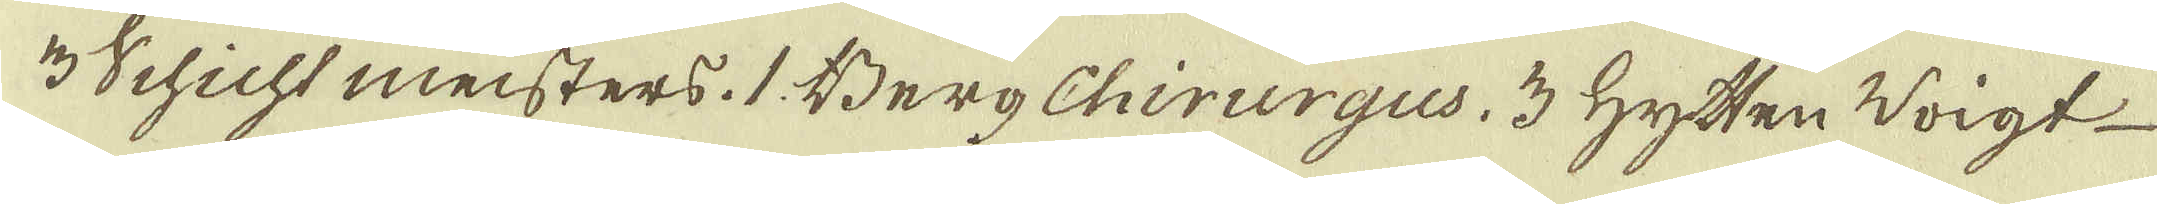3 Schicht meisters. 1 Berg Chirurgus. 3 Hytten Voigt
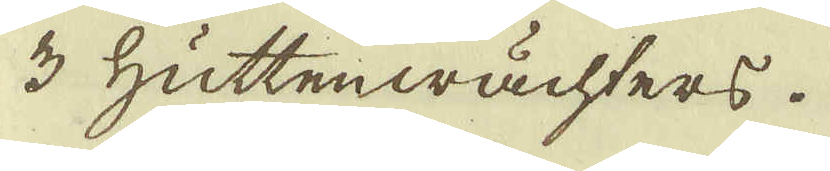3 Hüttenwächters.
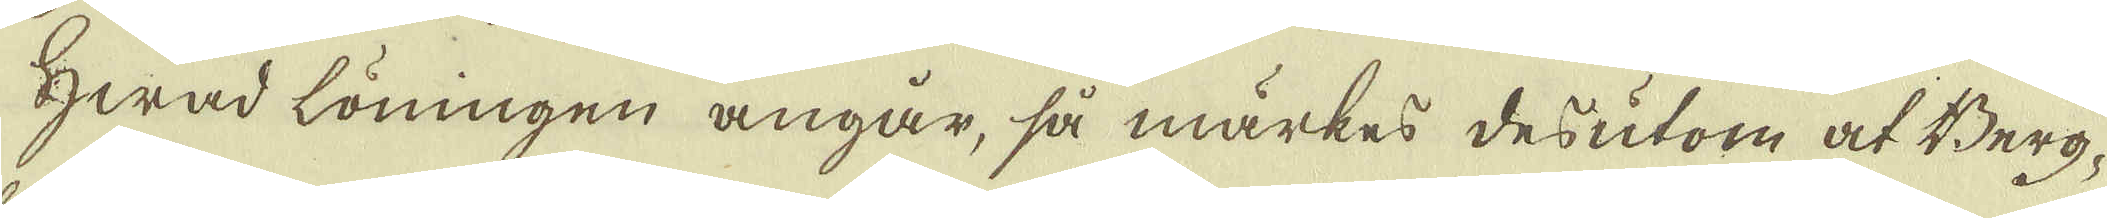Hwad löningen angår, så märkes desutom at Berg-
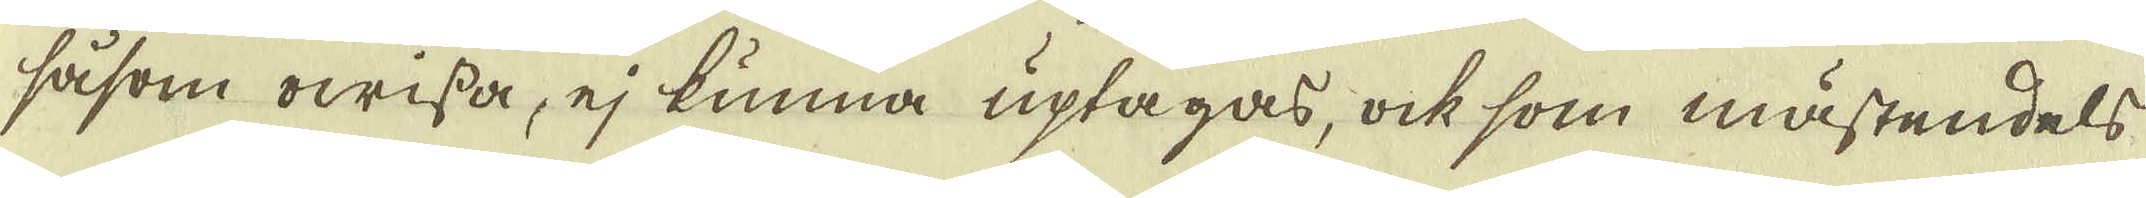såsom owissa, ej kunna uptagas, ock som mästendels
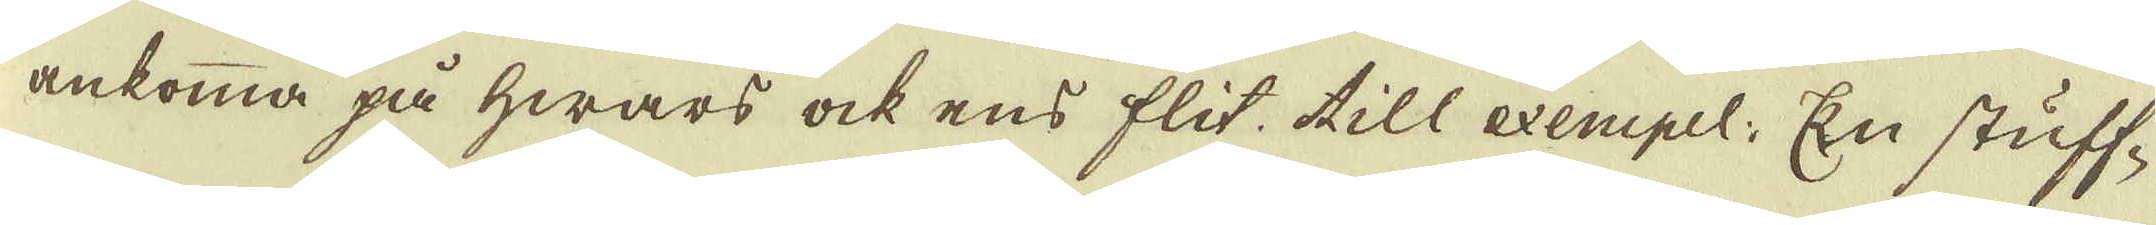ankomma på hwars ock ens flit till exempel. En stuff-
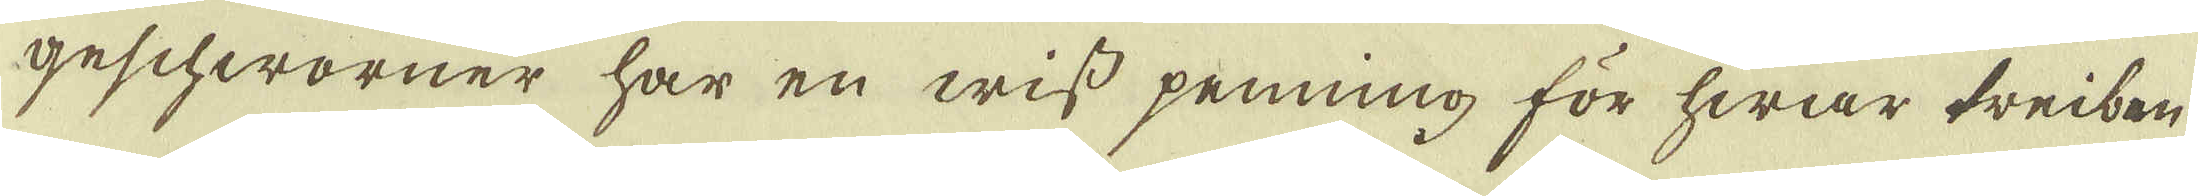geschworner har en wiss penning för hwar treiben
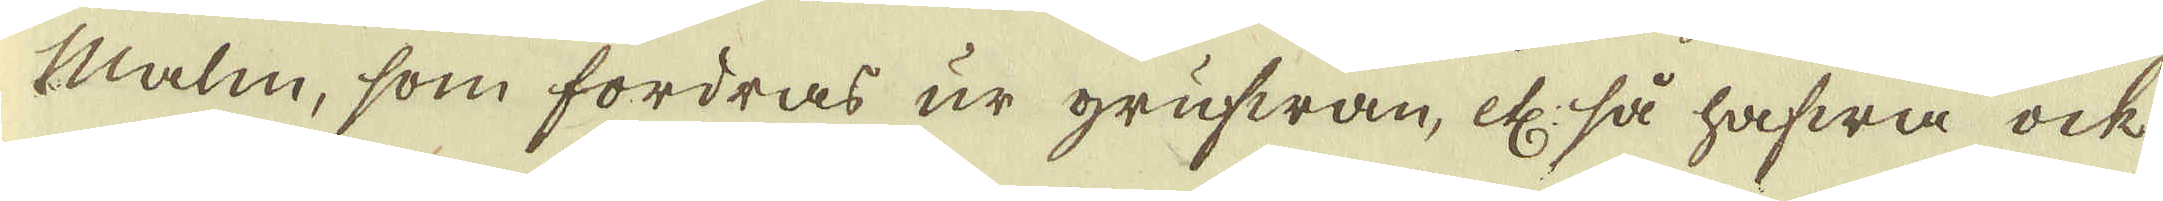Malm, som fordras ur grufwan, etc: så hafwa ock
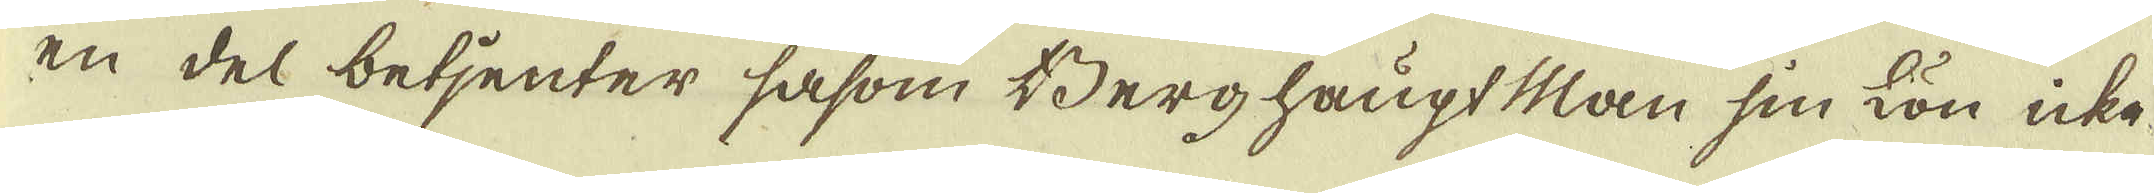en del betjenter såsom Berghaupt Man sin Lön icke
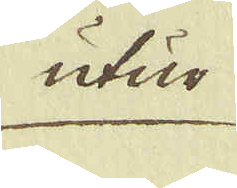utur
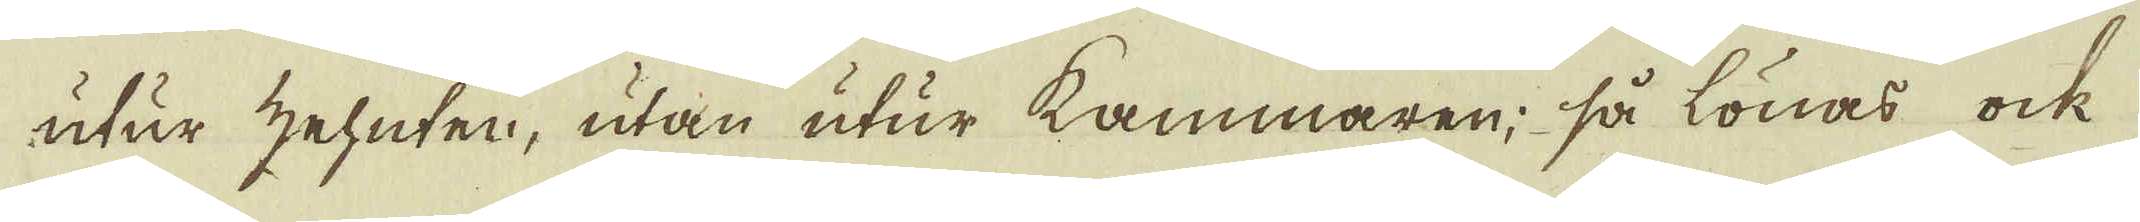utur zehnten, utan utur kammaren; så lönas ock
